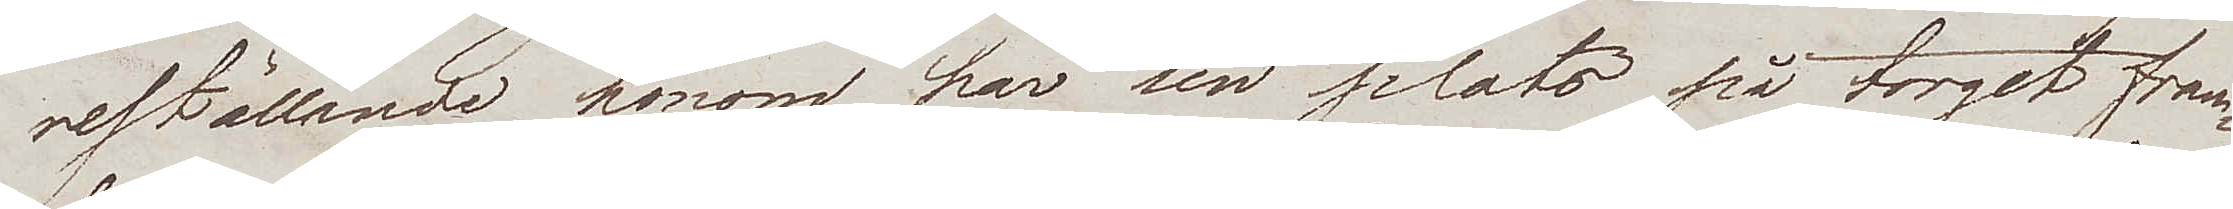reställande honom, har sin plats på torget fram¬
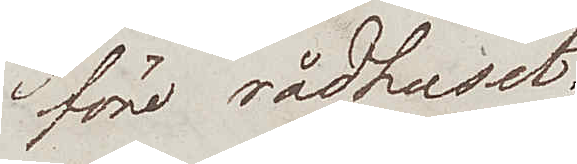före rådhuset.
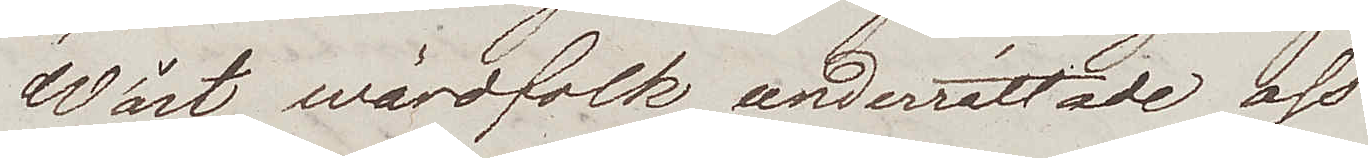Wårt wärdfolk underrättade oss
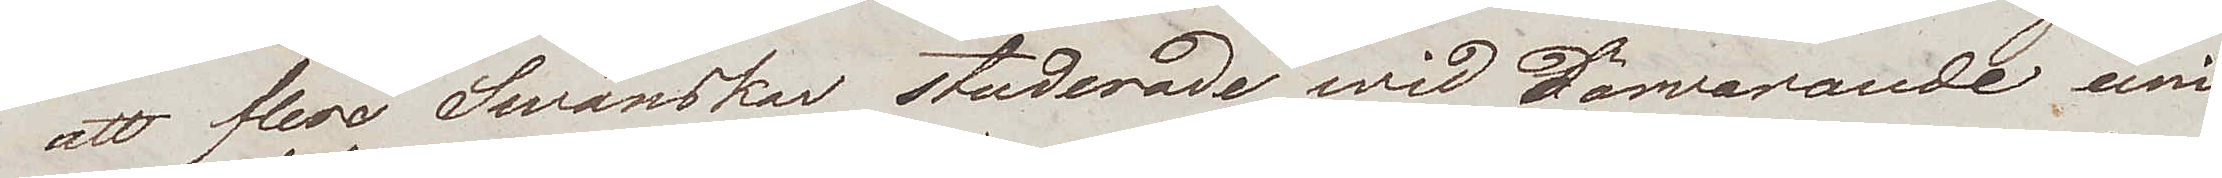att flere Swänskar studerade wid härvarande uni¬
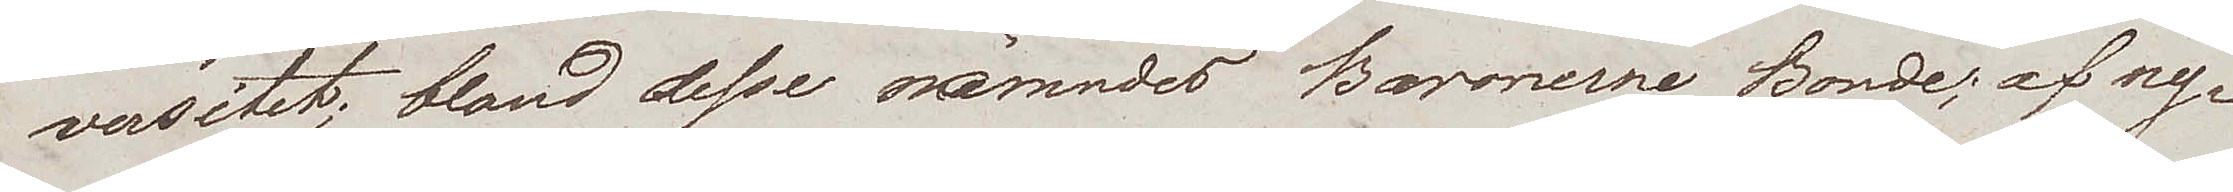versitet; bland desse nämndes Baronerne Bonde; af ny¬
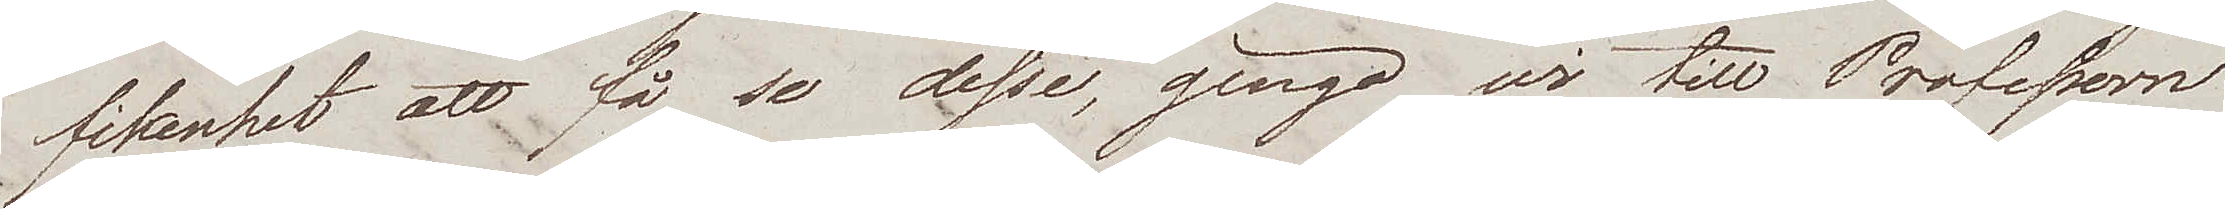fikenhet att få se desse, gingo wi till Professorn
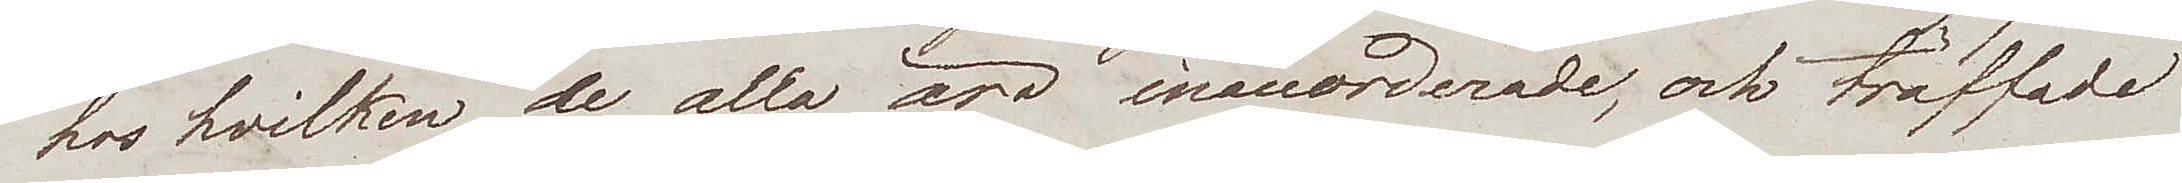hos hvilken de alla äro inaccorderade, och träffade
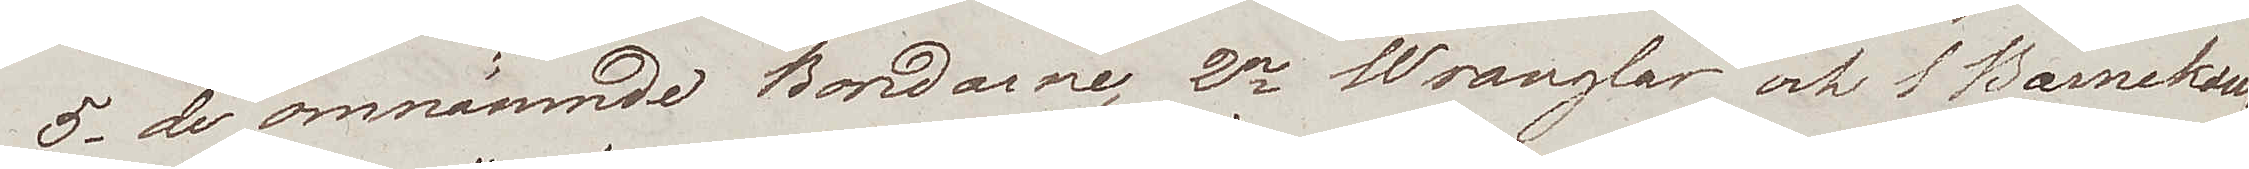5, de omnämnde Bondarne, 2ne Wranglar och 1 Barnekow.
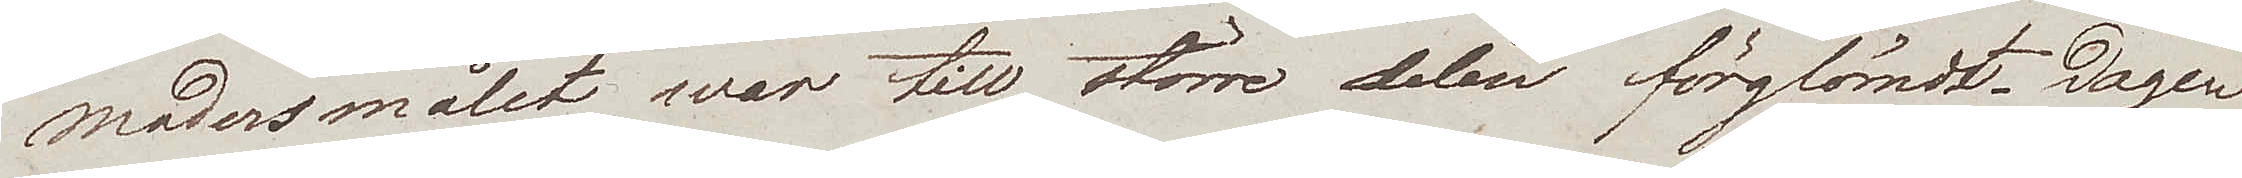Modersmålet war till större delen förglömdt. Dagen
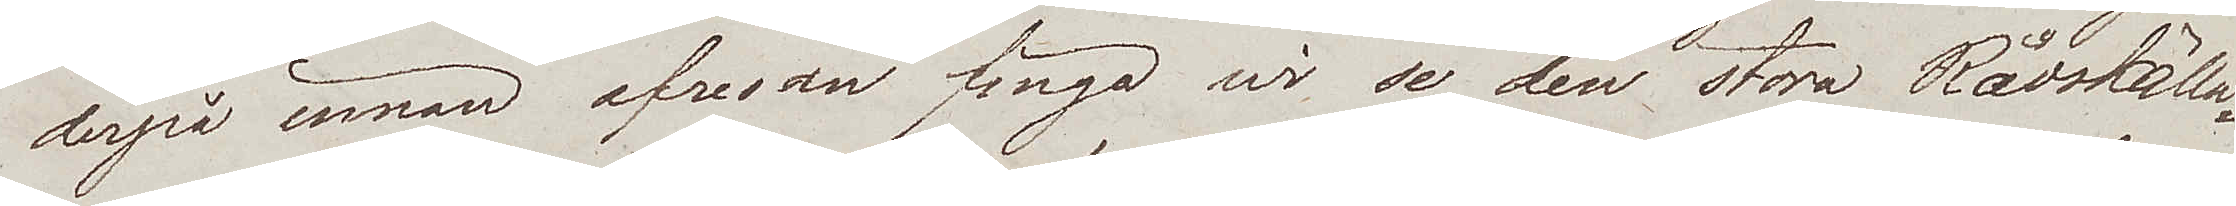derpå innan afresan fingo wi se den stora Rådskälla¬
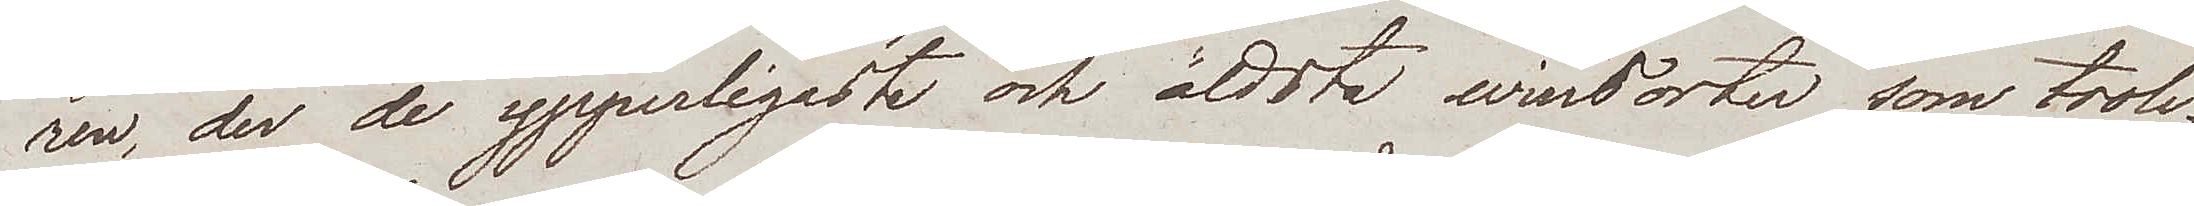ren, der de ypperligaste och äldsta winsorter som troli¬
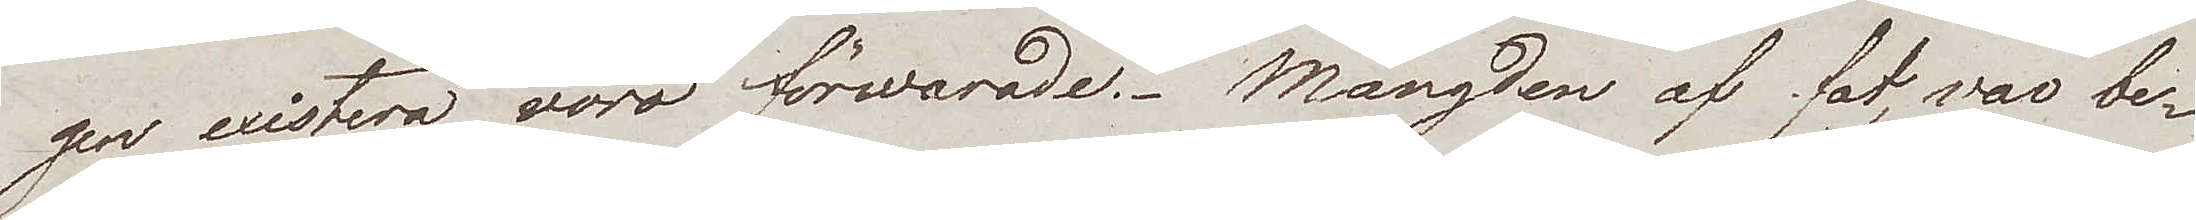gen existera voro förwarade. Mängden af fat, var be¬
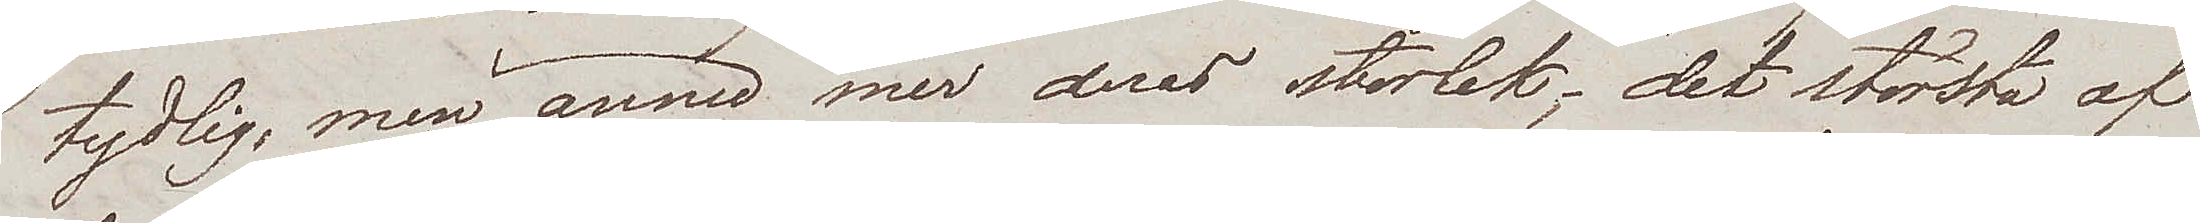tydlig, men ännu mer deras storlek; det största af
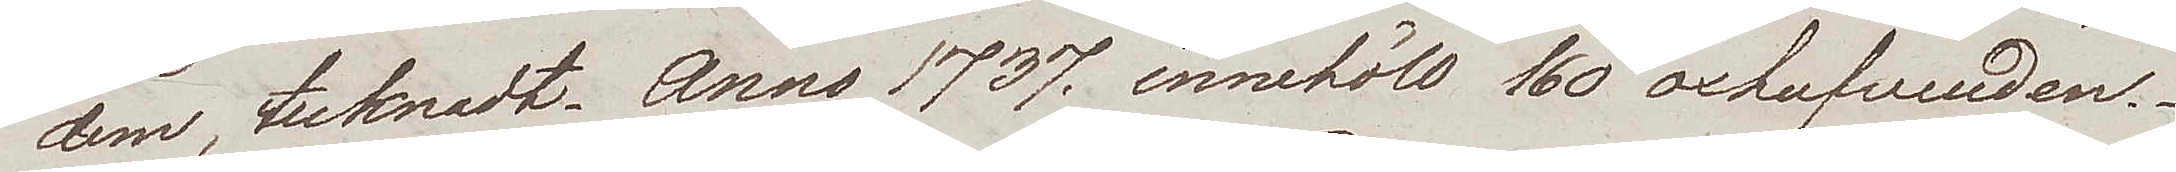dem, tecknadt Anno 1737, innehöll 160 oxhufvuden.
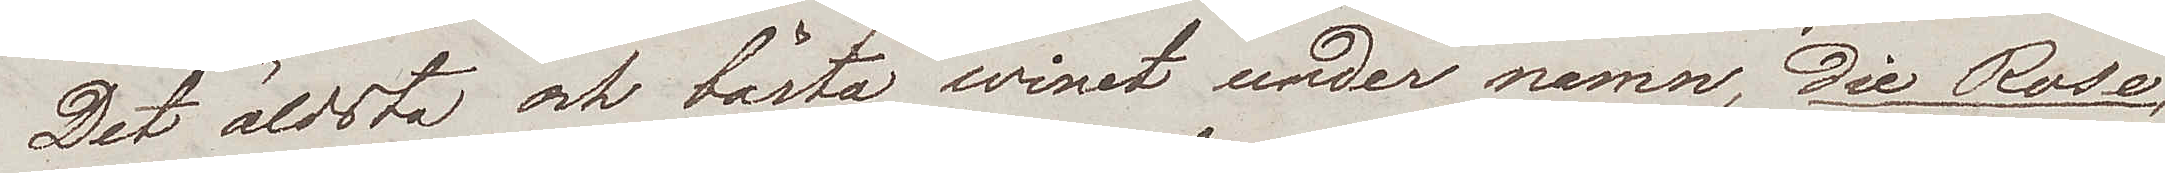Det äldsta och bästa winet under namn, die Rose,
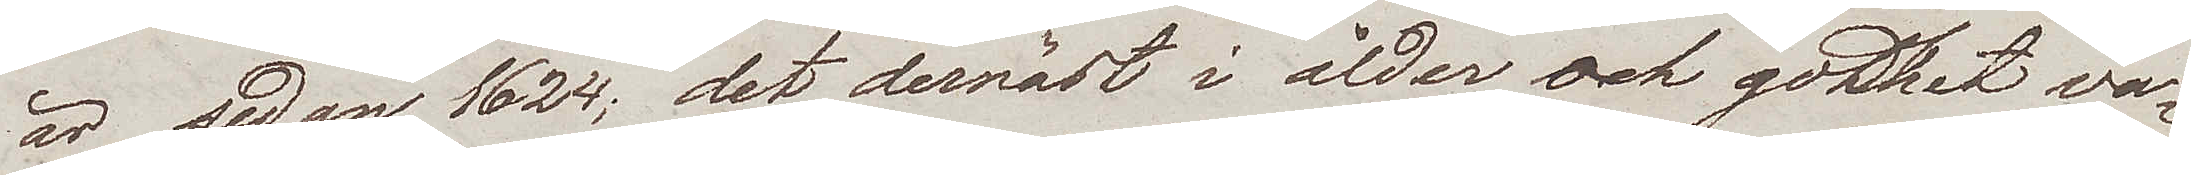är sedan 1624; det dernäst i ålder och godhet va¬
